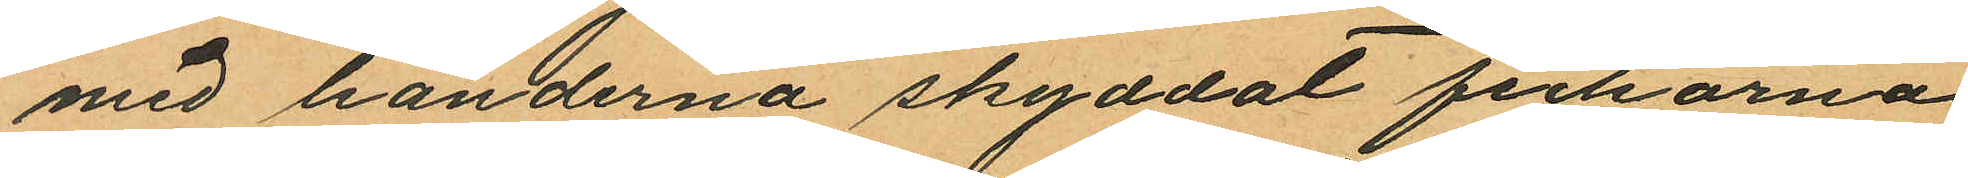med händerna skyddat fickorna
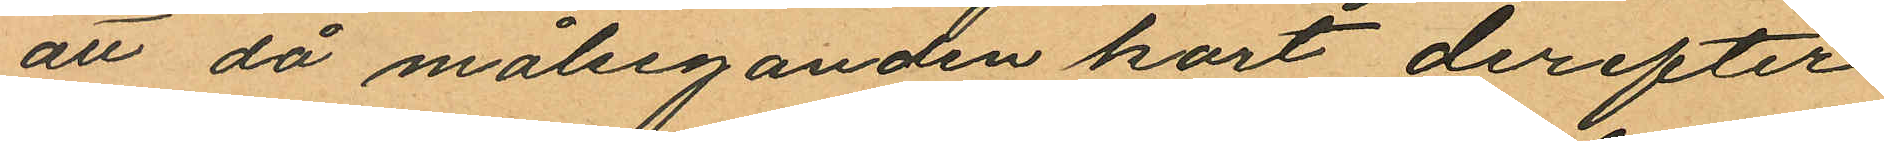att då målseganden kort derefter
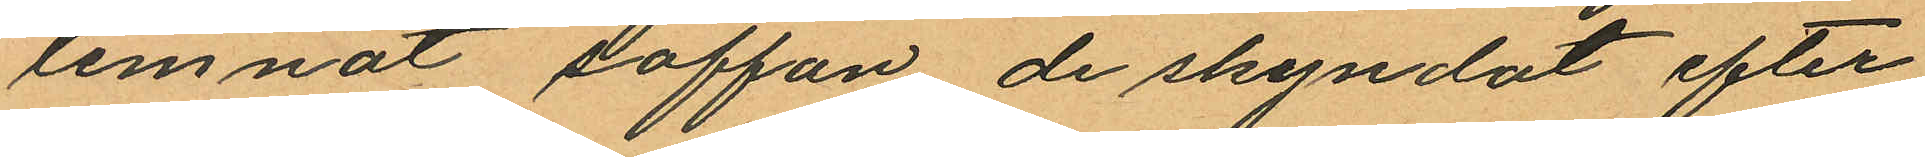lemnat soffan de skyndat efter
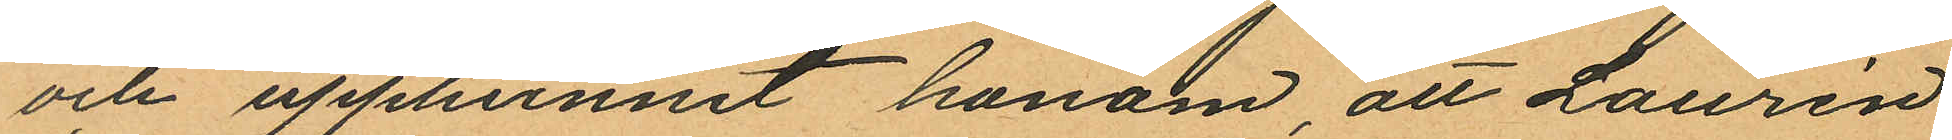och upphunnit honom att Laurén
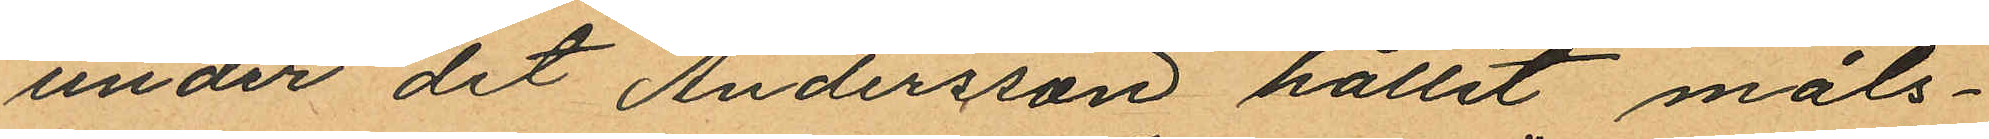under det Andersson hållit måls¬
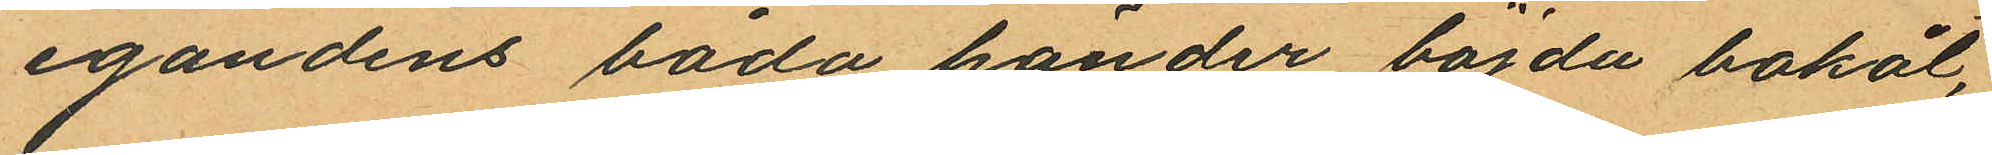egandens båda händer böjda bakåt,
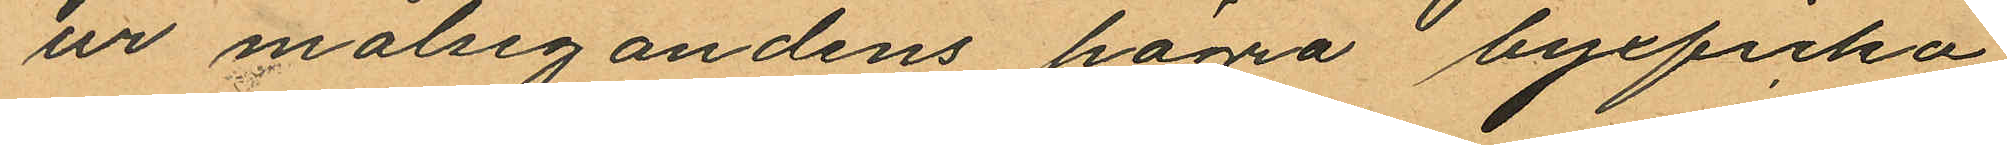ur målsegandens högra byxficka
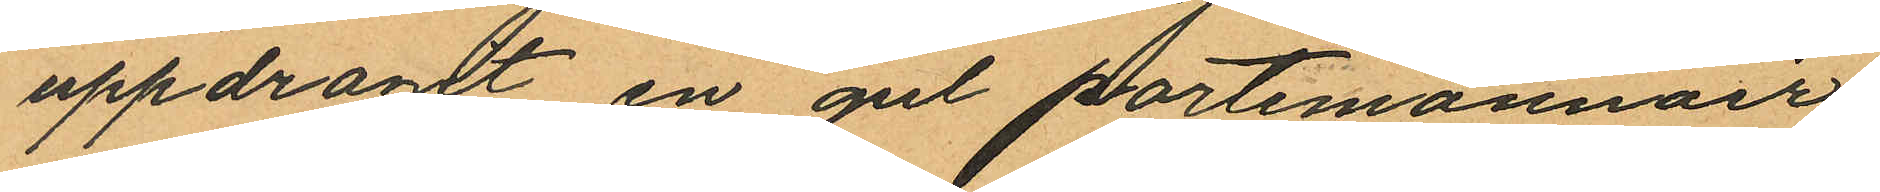uppdragt en gul portemonnair
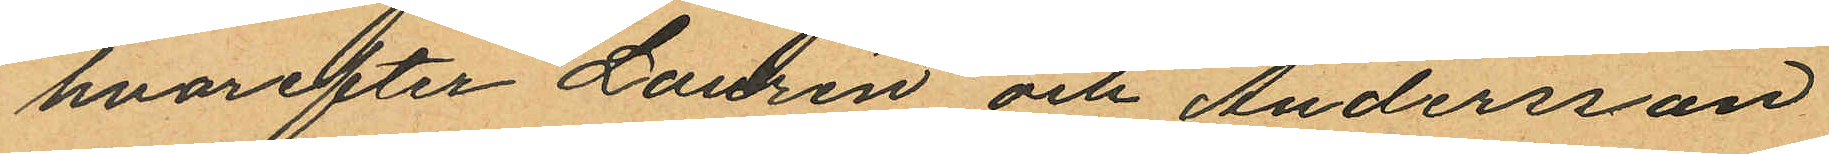hvarefter Laurén och Andersson
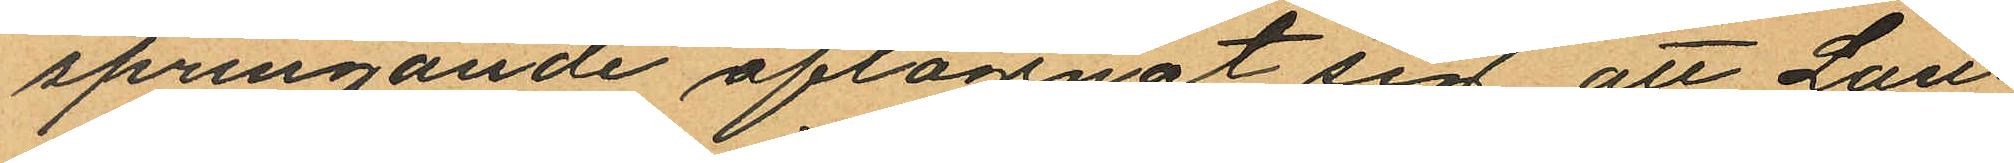springande aflägsnat sig att Lau¬
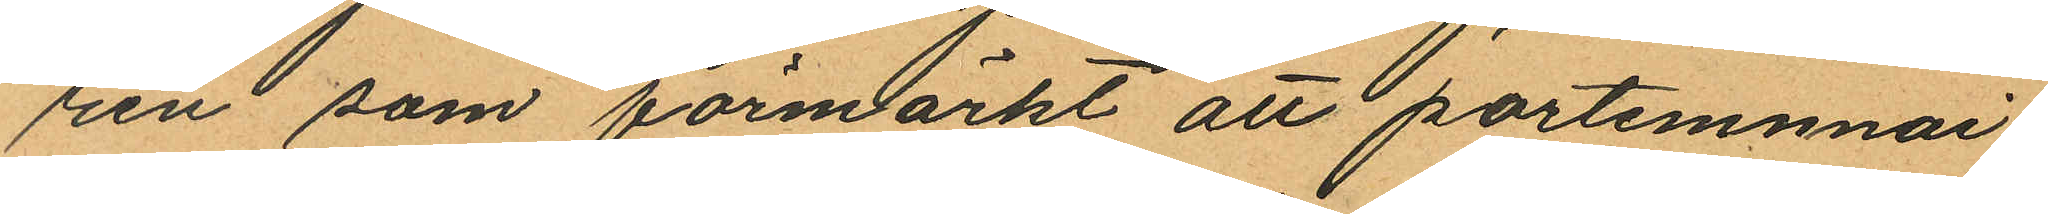rén som förmärkt att partemnai¬
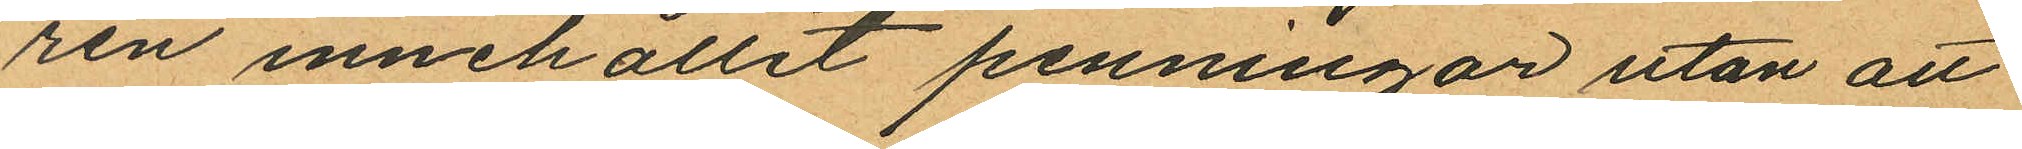ren innehållit penningar utan att
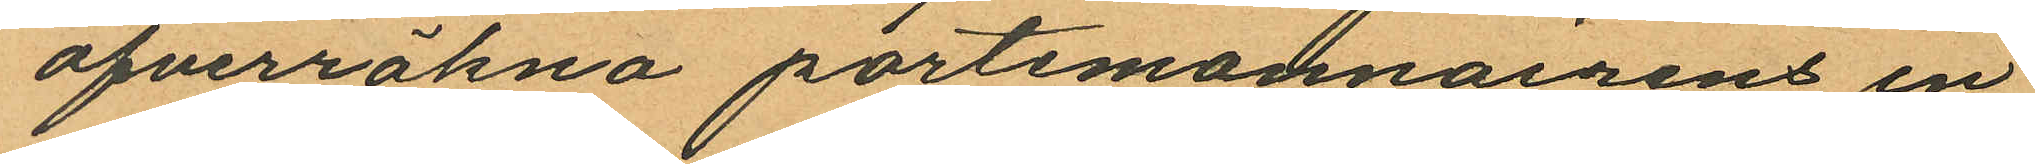öfverräkna portemonnairens in¬
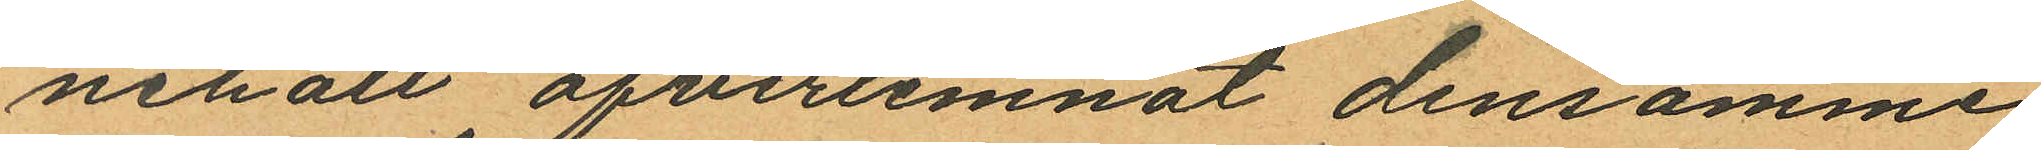nehåll ofverlemnat densamme
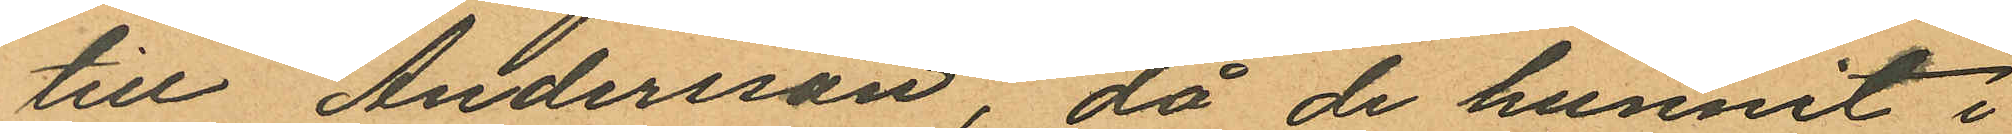till Andersson, då de hunnit i
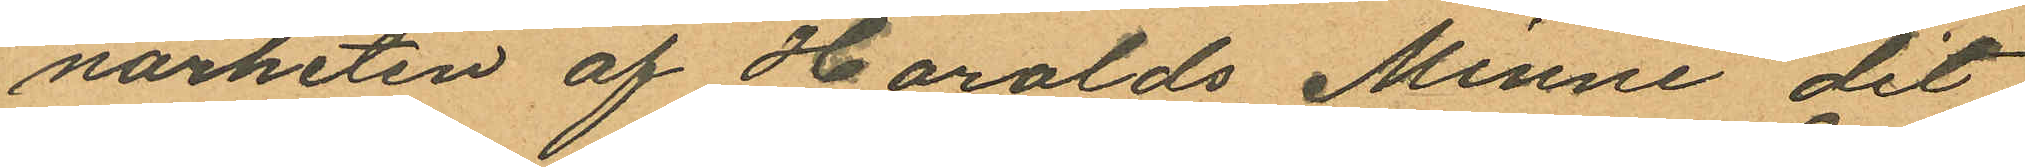närheten af Haralds Minne dit
